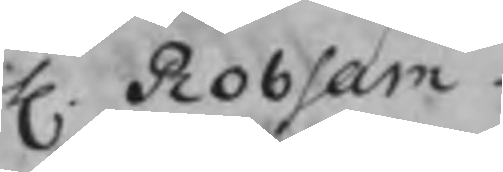H. Robsam
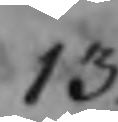13.
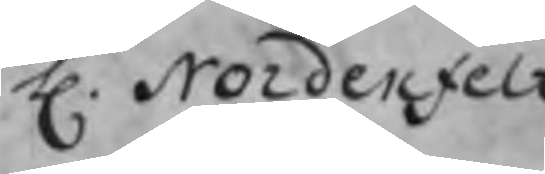H. Nordenfelt
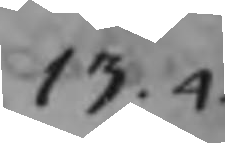13.4
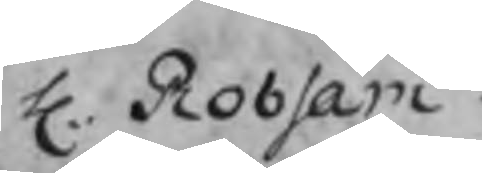H. Robsam
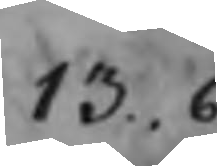13.6
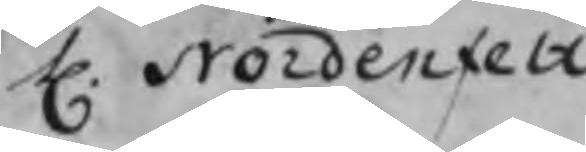H. Nordenfelt
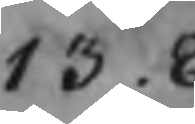13.8
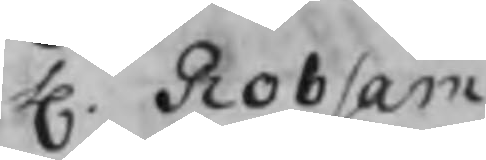H. Robsam
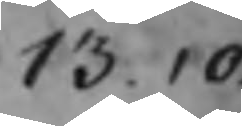13.10
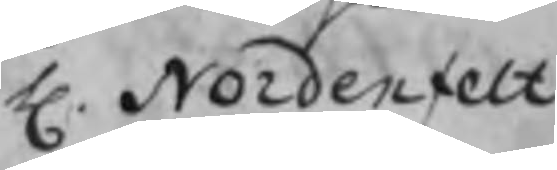H. Nordenfelt
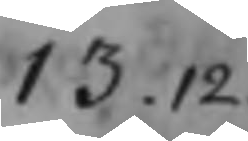13.12
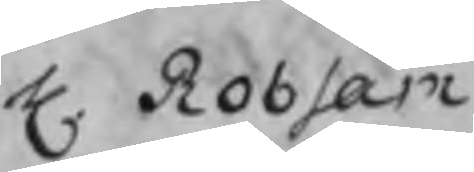H. Robsam
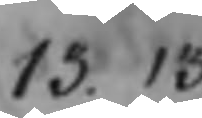13.13
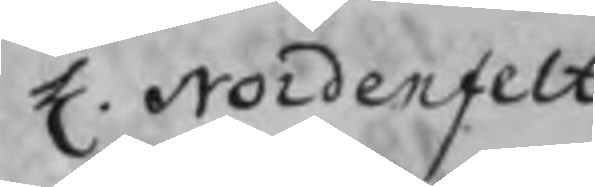H. Nordenfelt
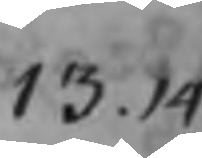13.14
